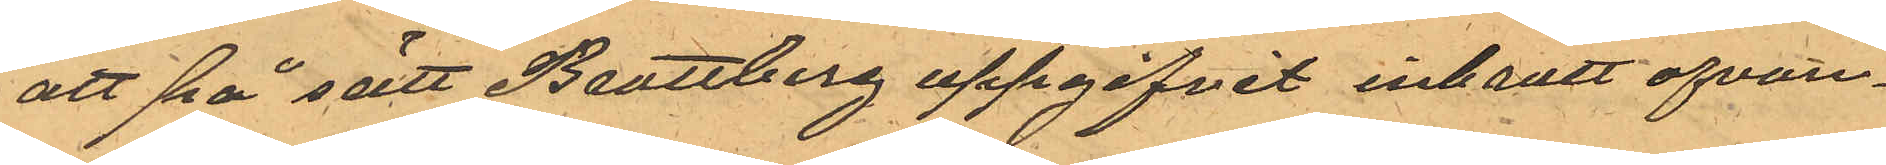att på sätt Brattberg uppgifvit inbrott ofvan¬
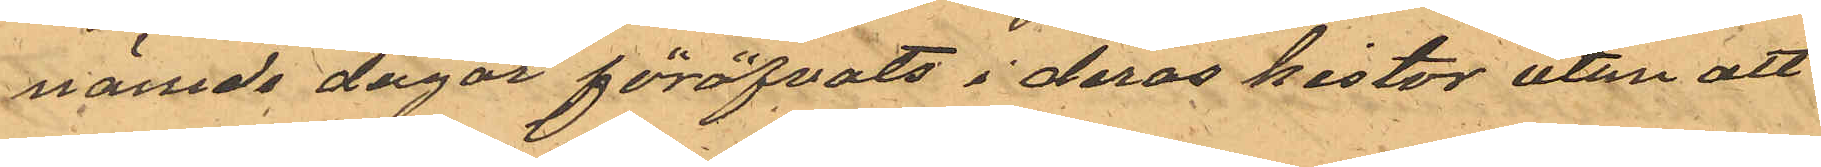nämde dagar föröfvats i deras kistor utan att
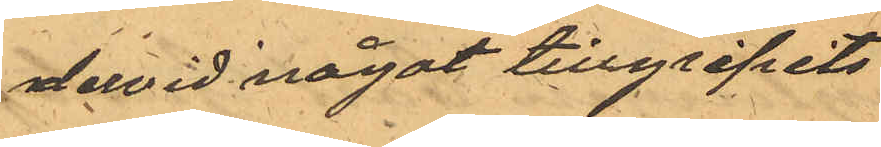dervid något tillgripits
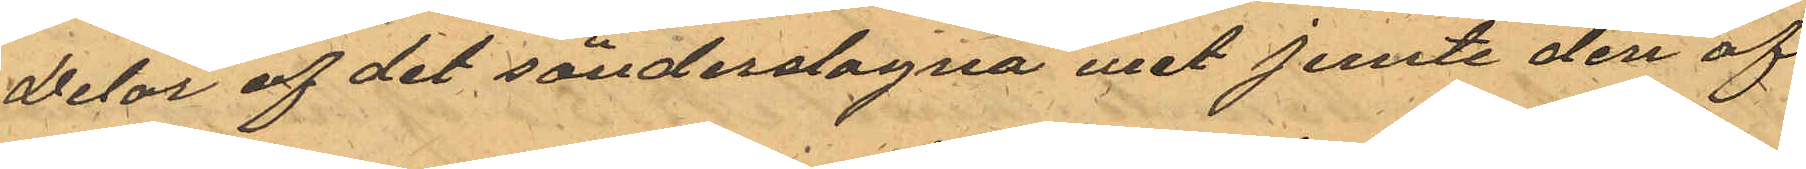Delar af det sönderslagna uret jemte den af
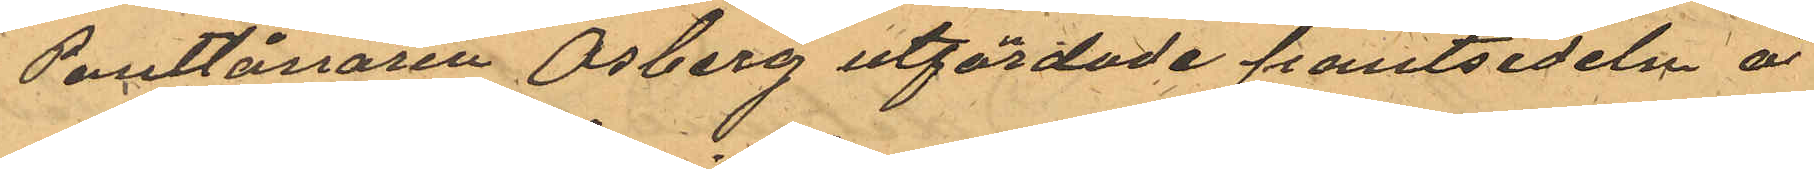Pantlånaren Osberg utfärdade pantsedeln å
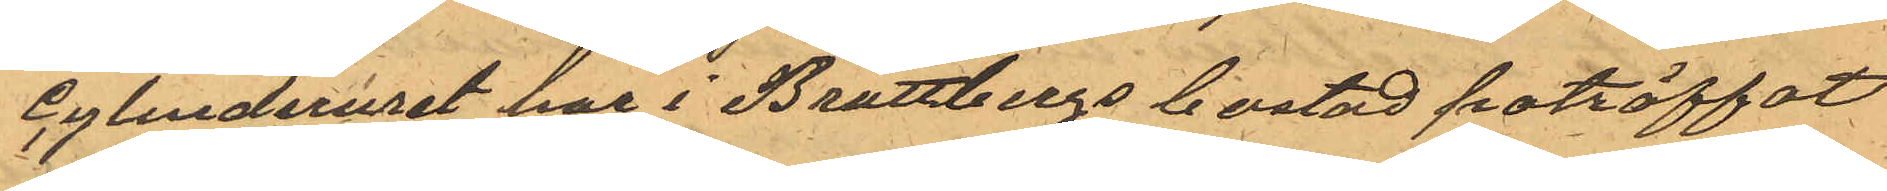cylinderuret har i Brattbergs bostad påträffat
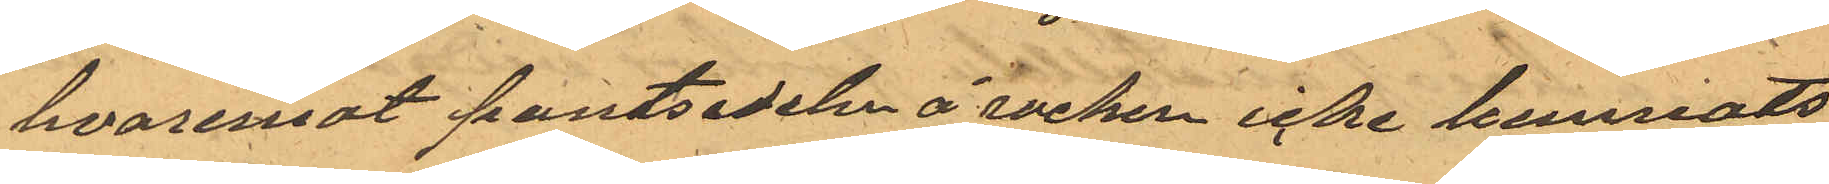hvaremot pantsedeln å rocken icke kunnats
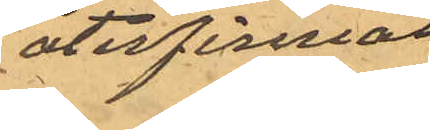återfinnas
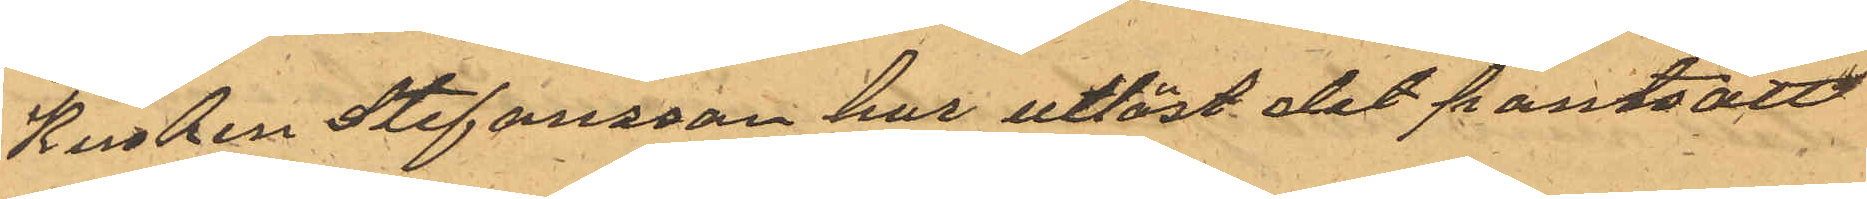Kusken Stefansson hur utlöst det pantsatt
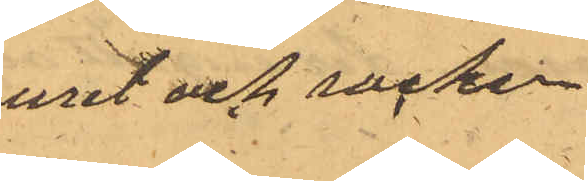uret och rocken
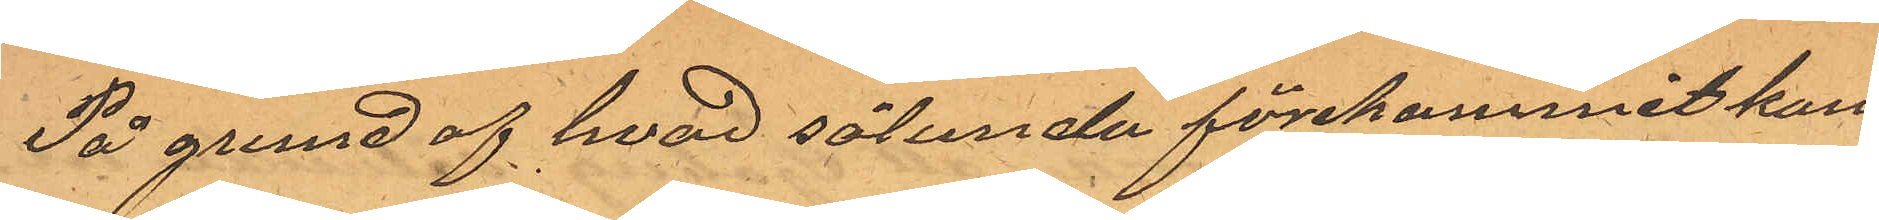På grund af hvad sålunda förekommit kom¬
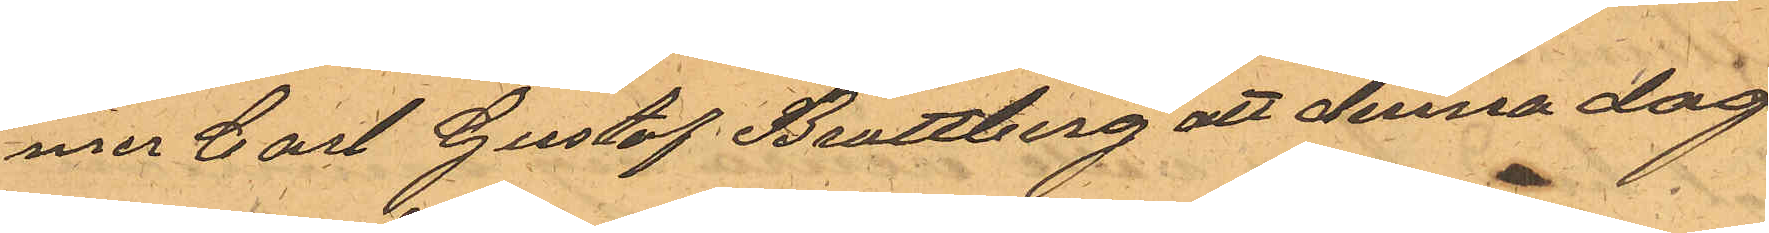mer Carl Gustaf Brattberg att denna dag
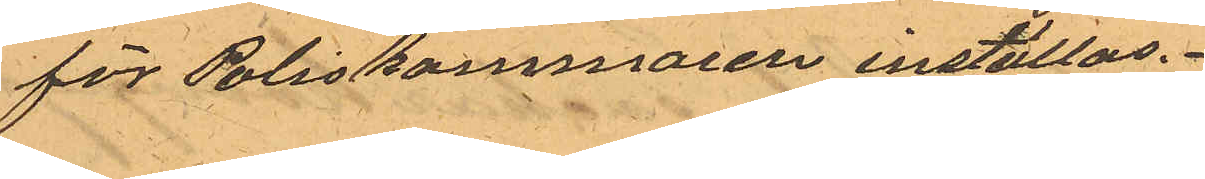för Poliskammaren inställas.
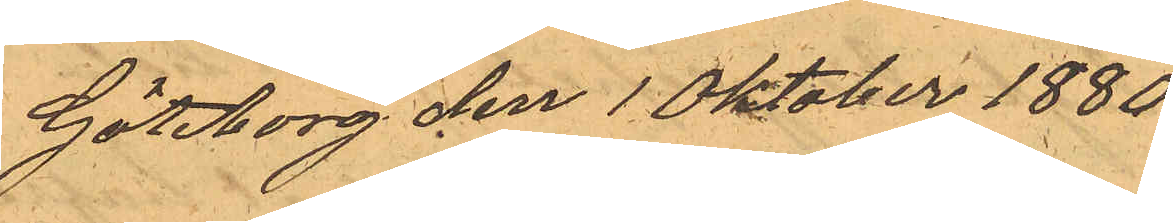Göteborg den 1 Oktober 1880.
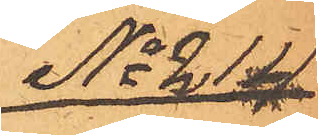No 214.
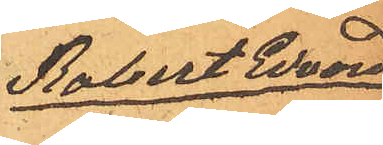Robert Edvard
